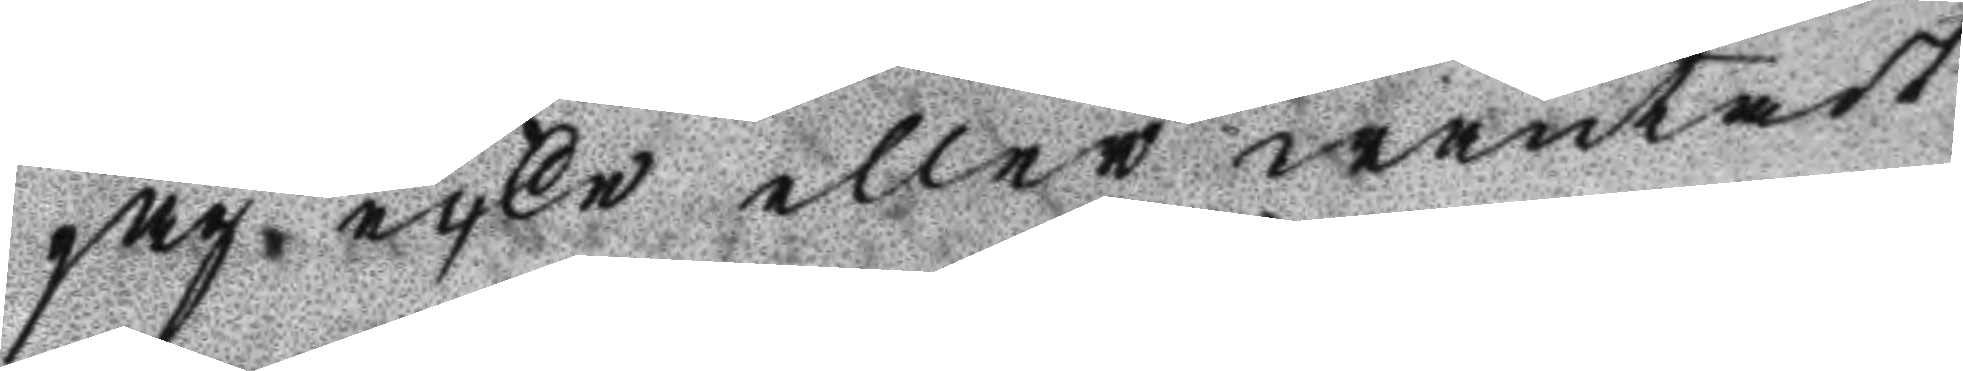jag icke eller wäntadt
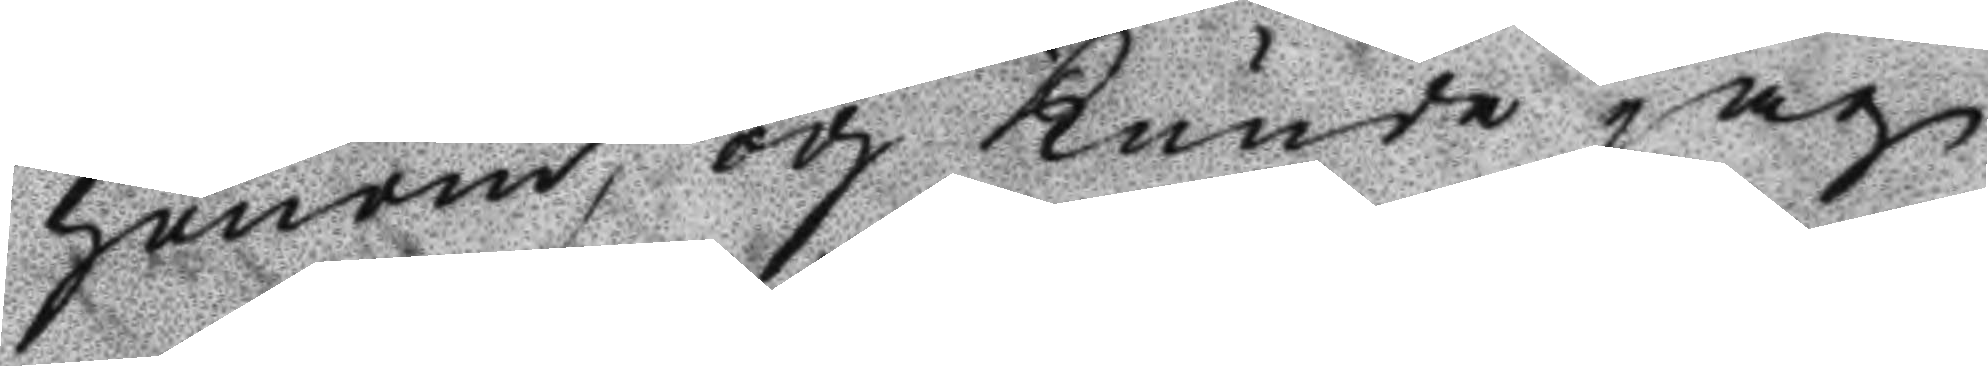honom, och Kunde jag
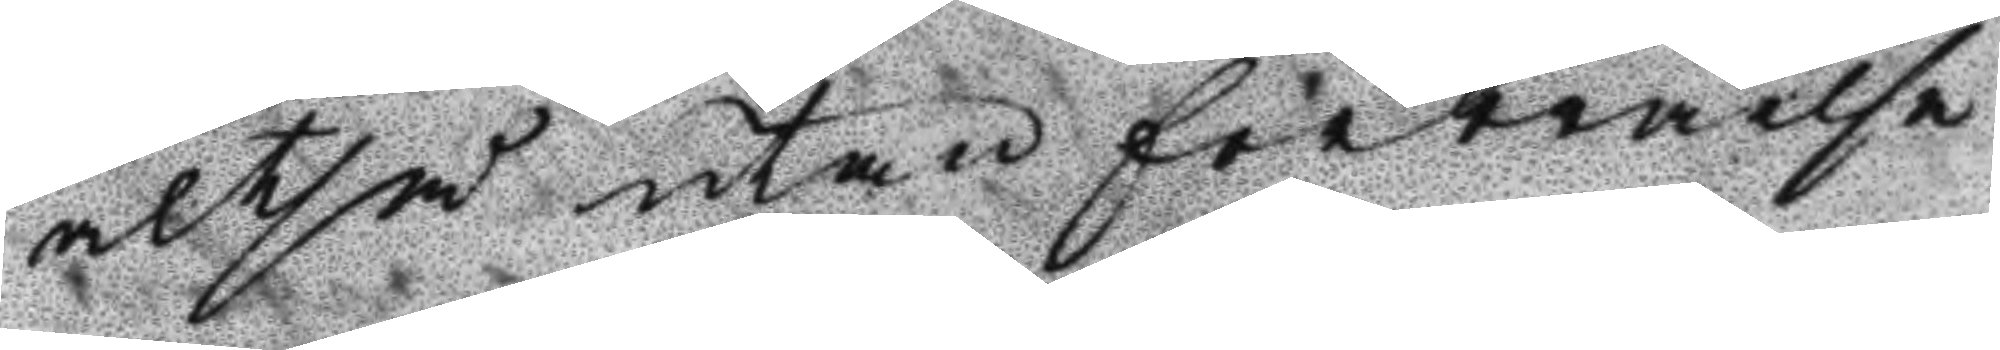altså utan förbråelse
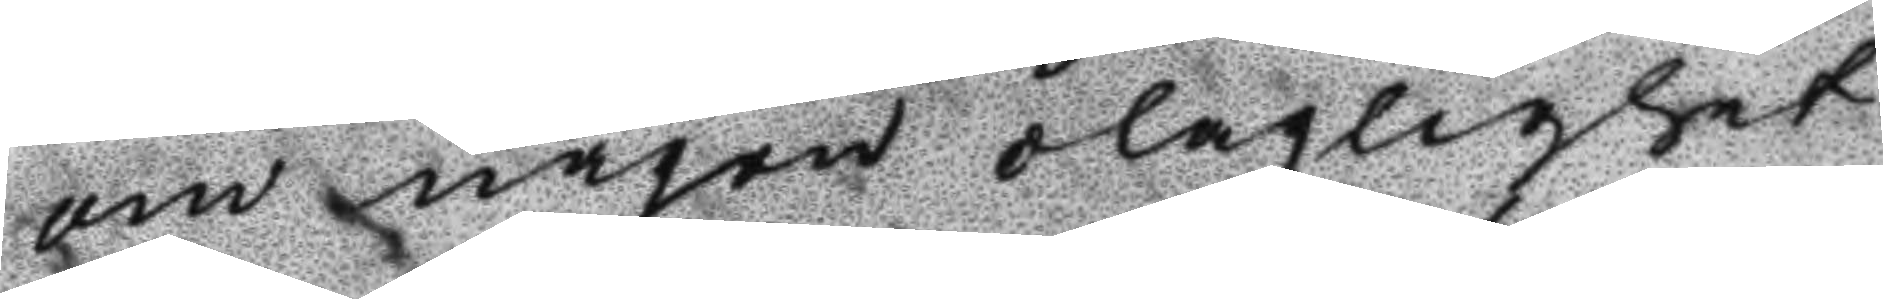om någon olaglighet
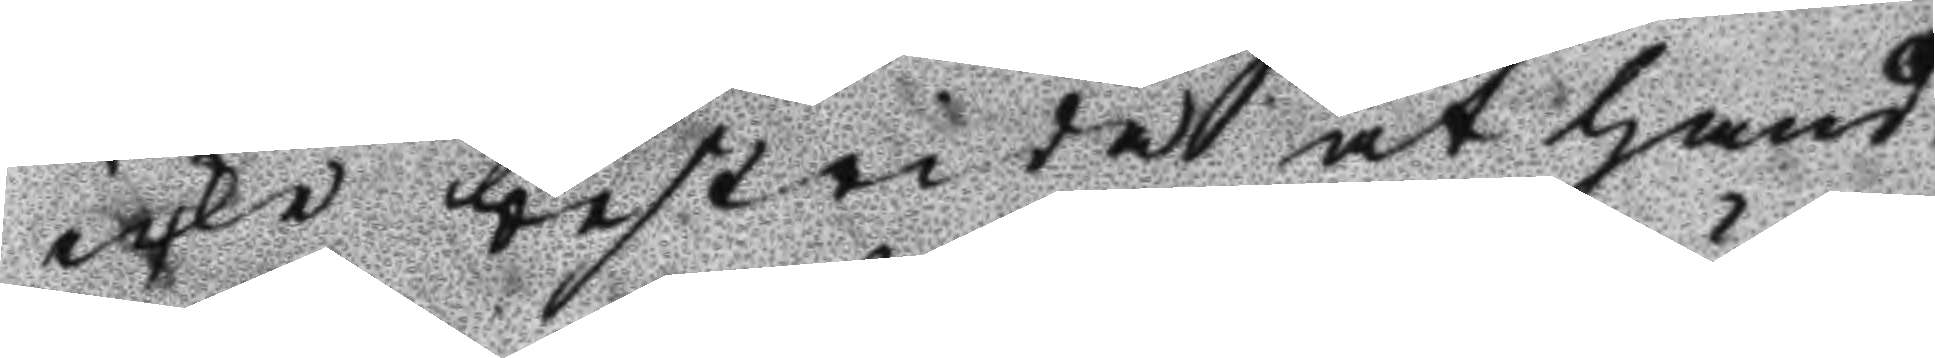icke bestrida at hand¬
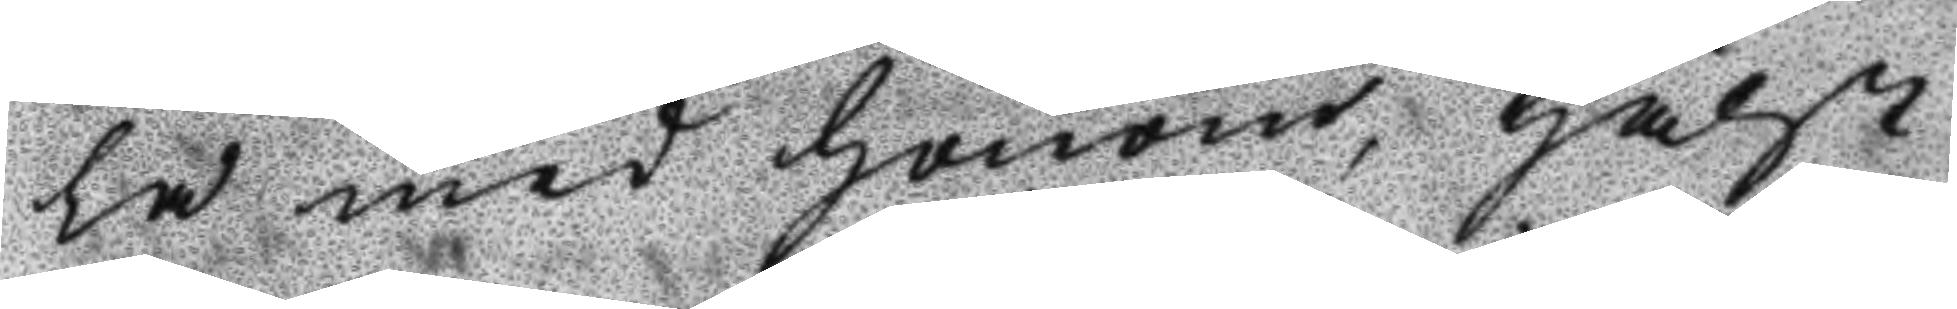la med honom, hälst
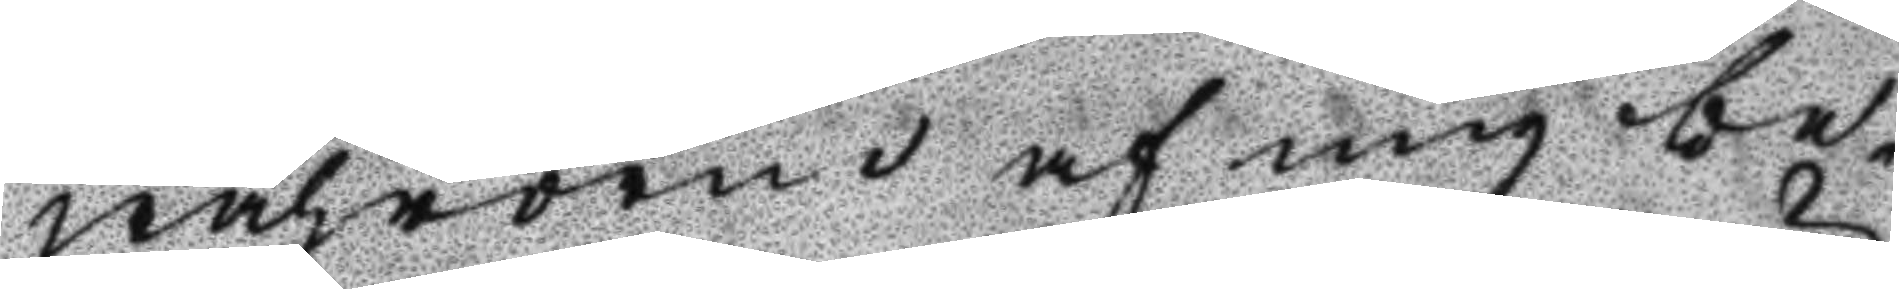wahrorne af mig be¬
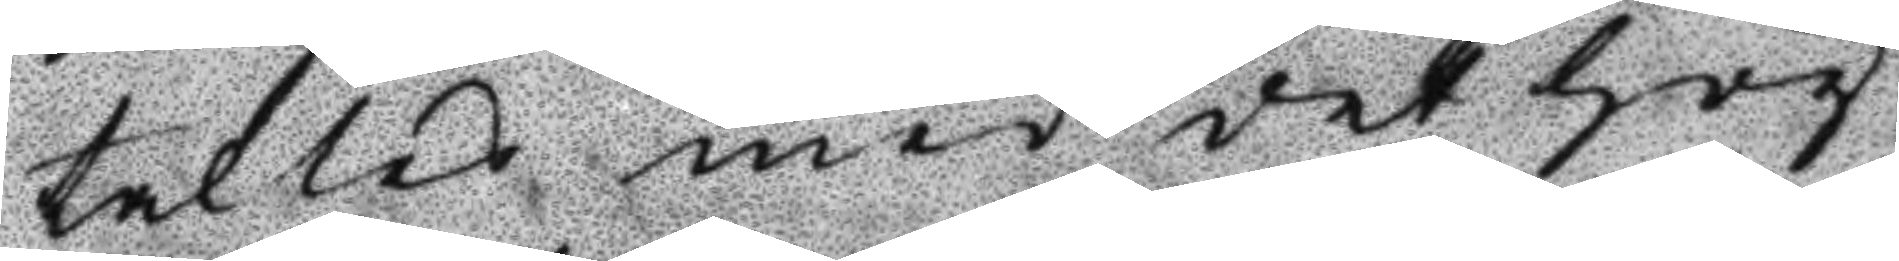taltes med det hög¬
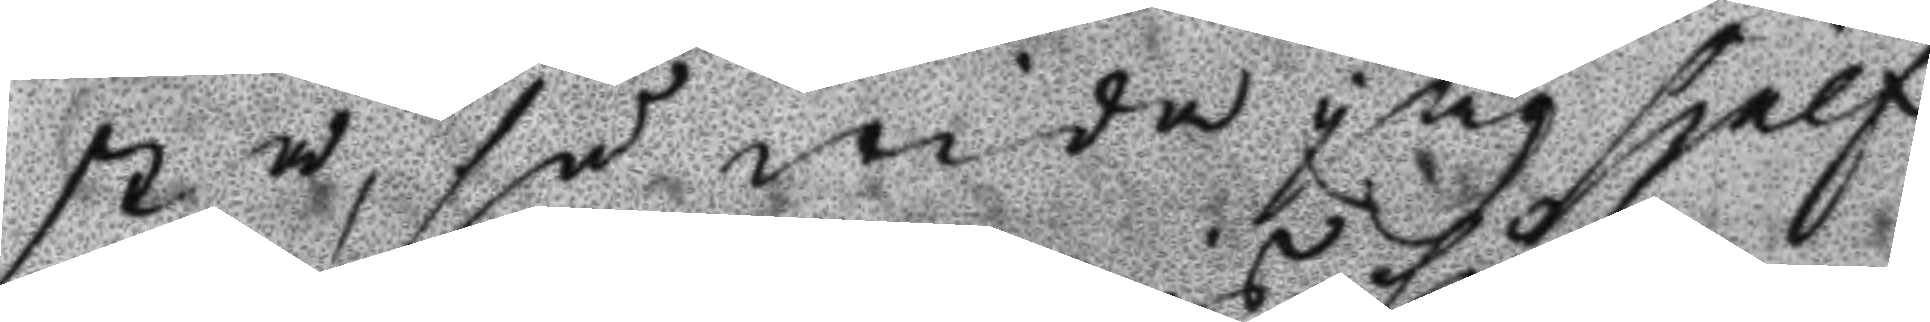sta, så wida jag sjelf
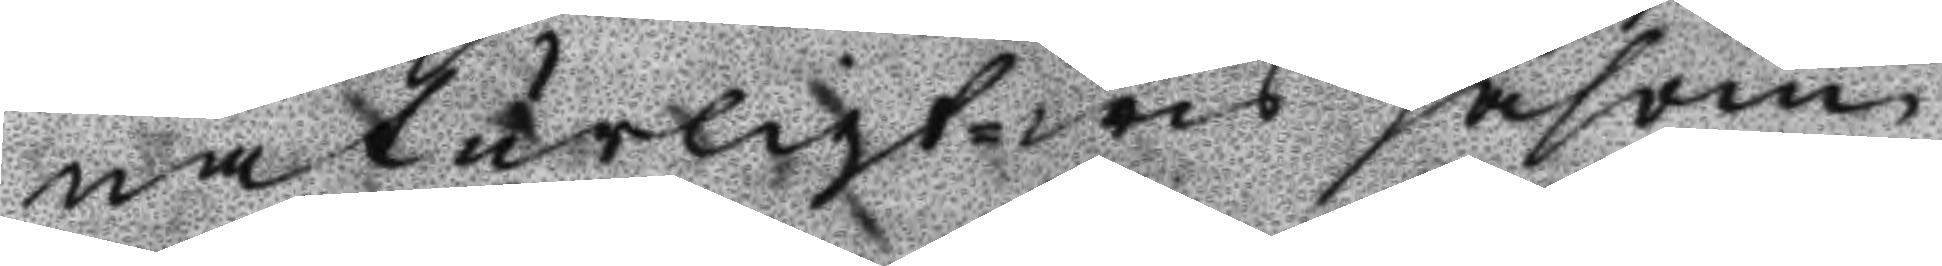naturligtwis såsom
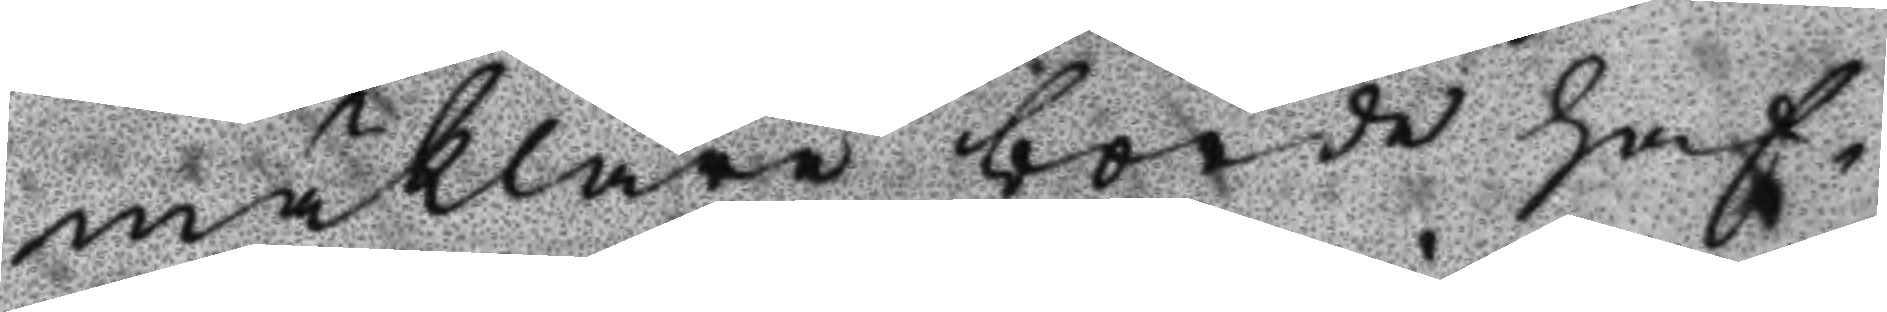mäklare borde haf¬
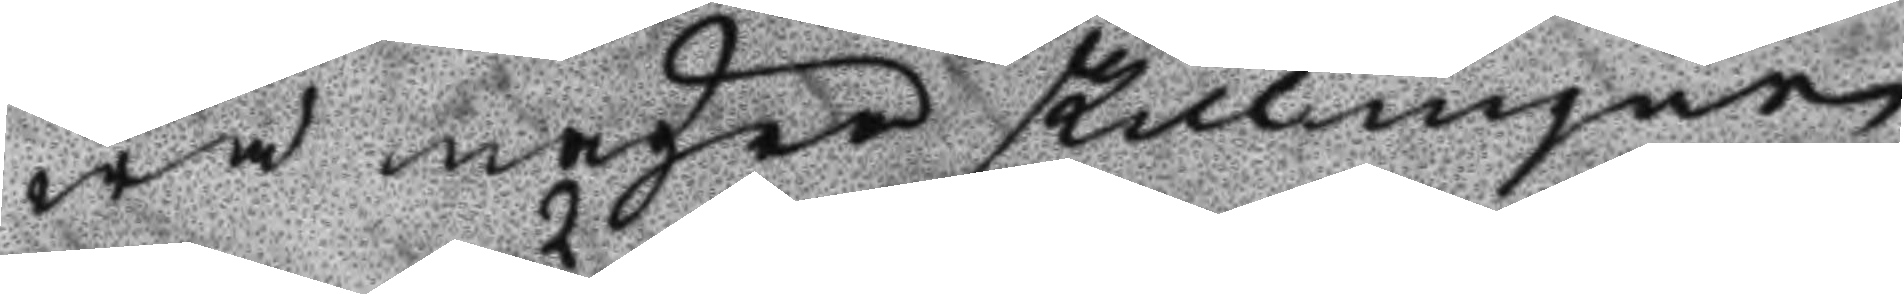wa några skillingar
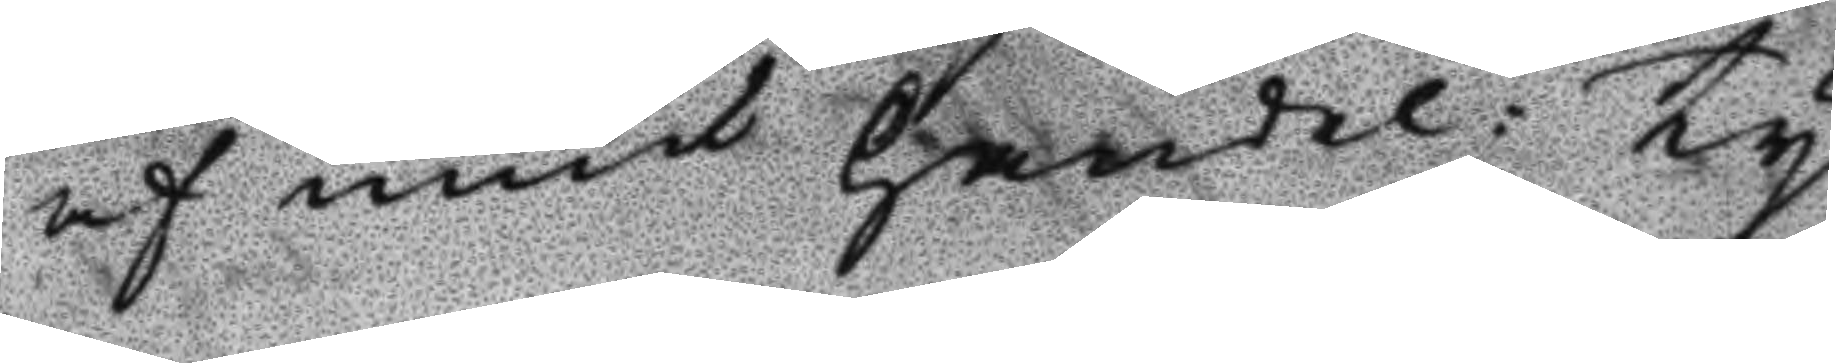af mut handel: Ty
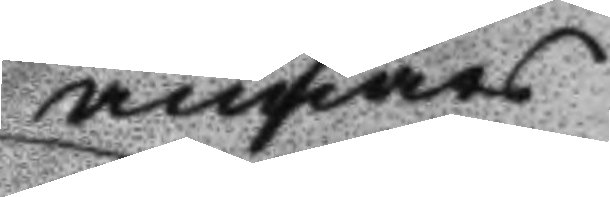annars
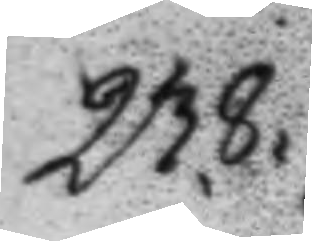238.
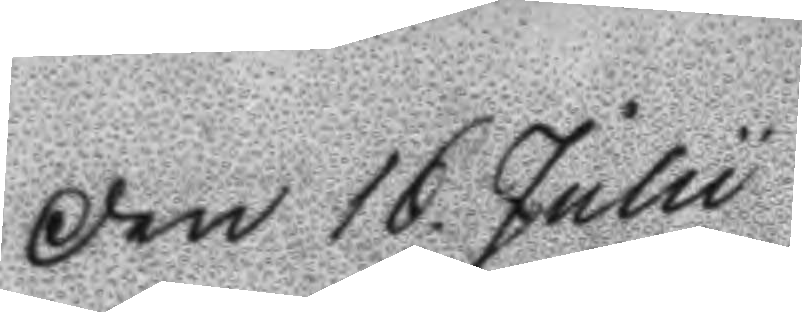Den 16 Julii
